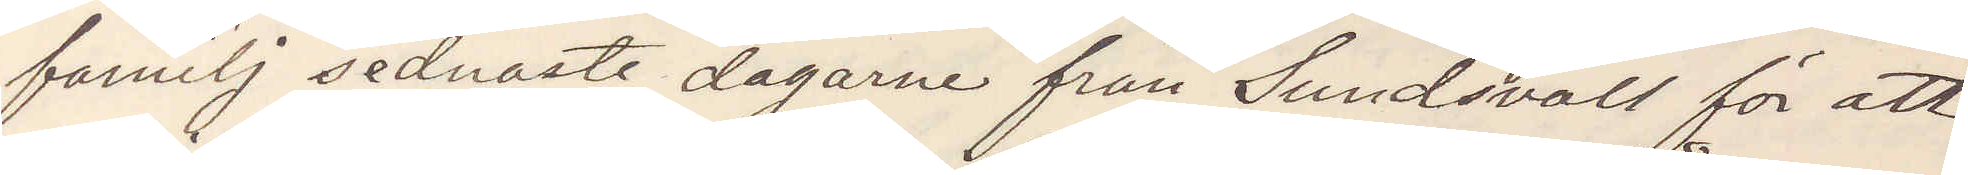familj sednaste dagarne från Sundsvall för att
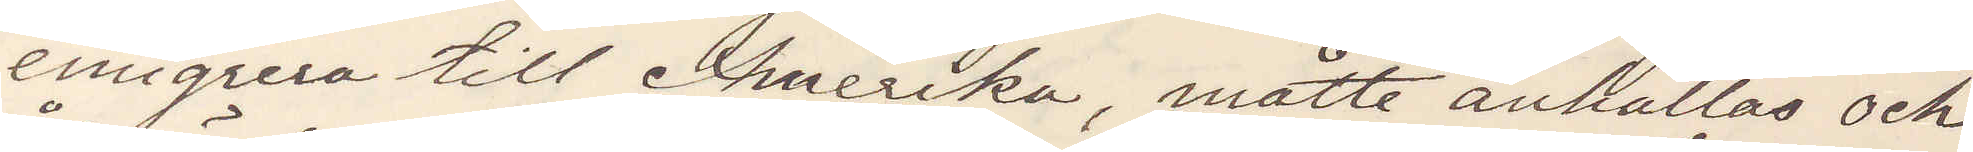emigrera till Amerika, måtte anhållas och
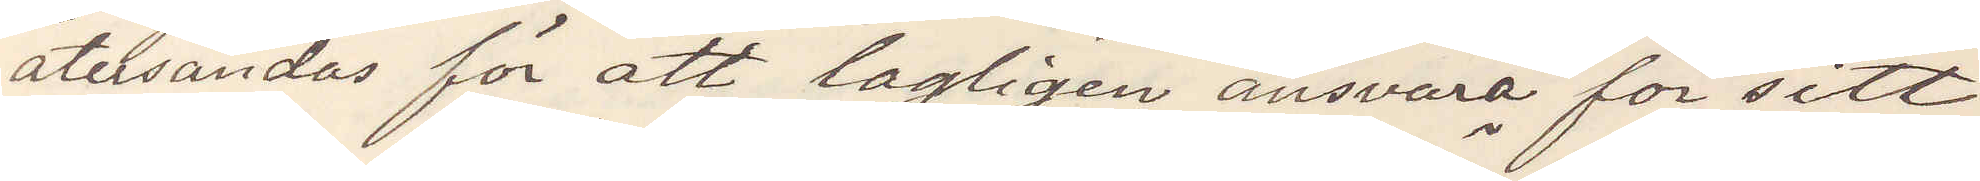återsändas för att lagligen ansvara för sitt
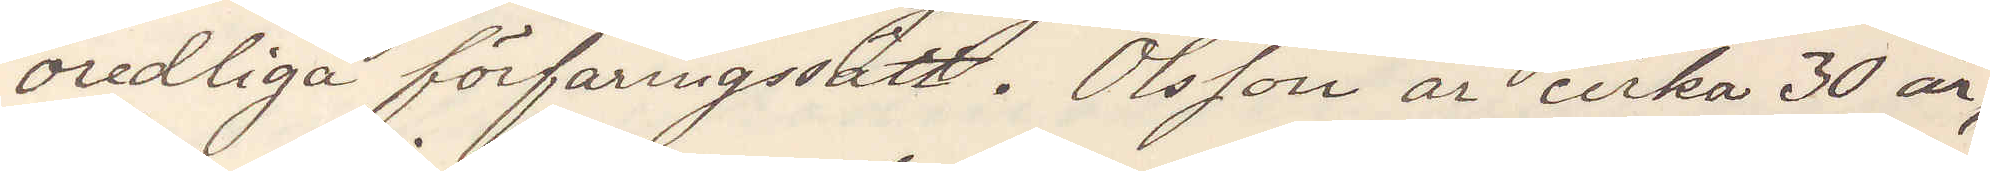oredliga förfaringssätt. Olsson är cirka 30 år,
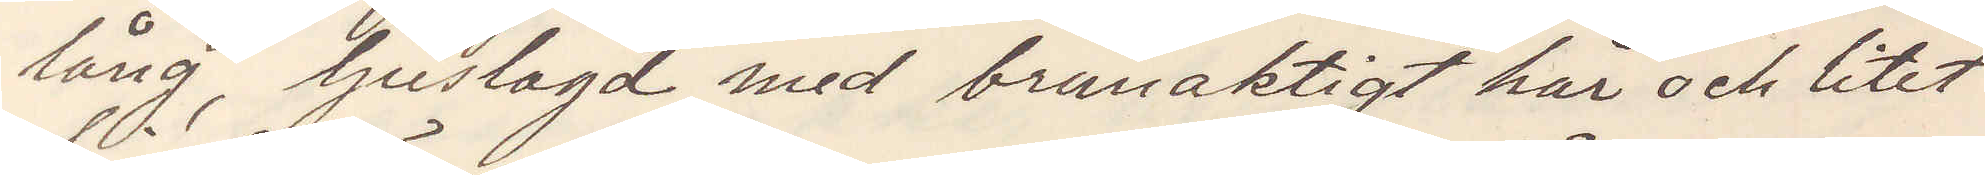lång, ljuslagd med brunaktigt hår och litet
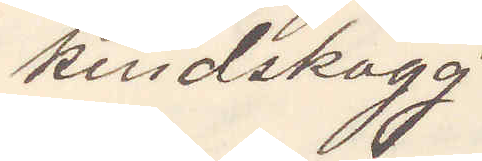kindskägg
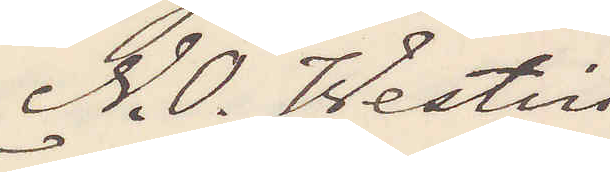N. O. Westin
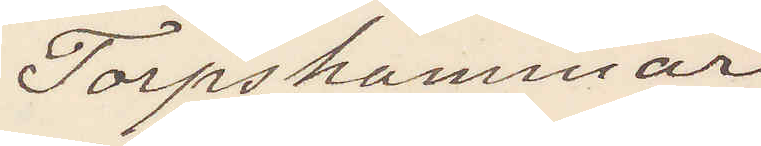Torpshammar
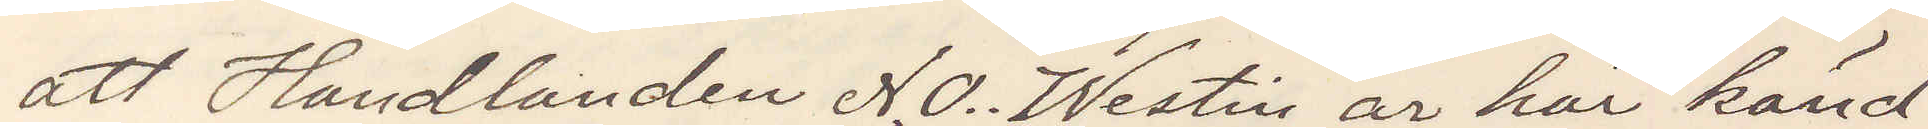att Handlanden N. O. Westin är här känd
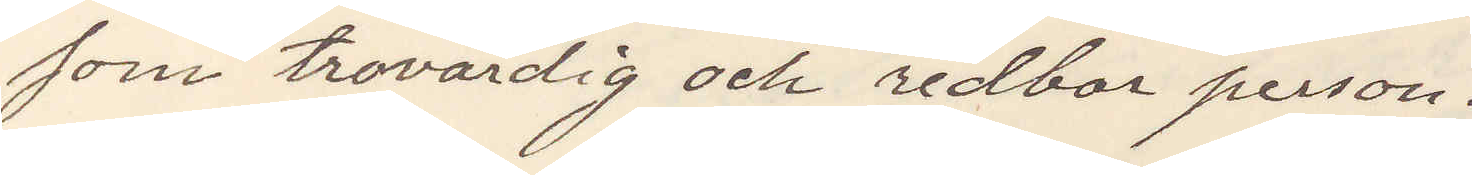som trovärdig och redbar person.
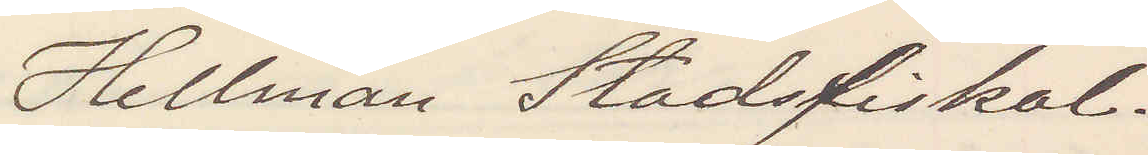Hellman Stadsfiskal.
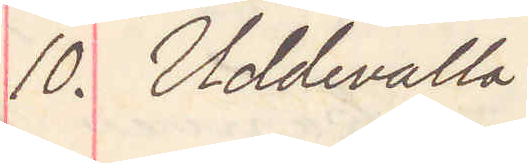10. Uddevalla
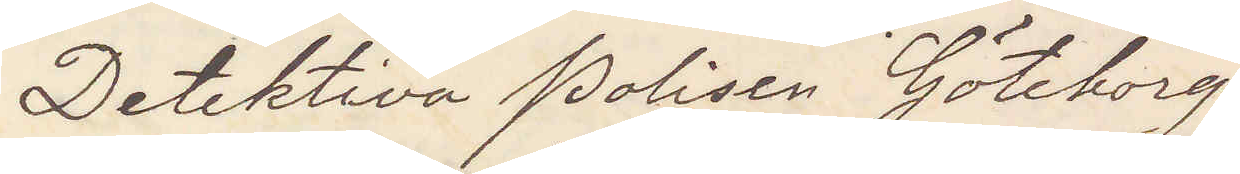Detektiva Polisen Göteborg
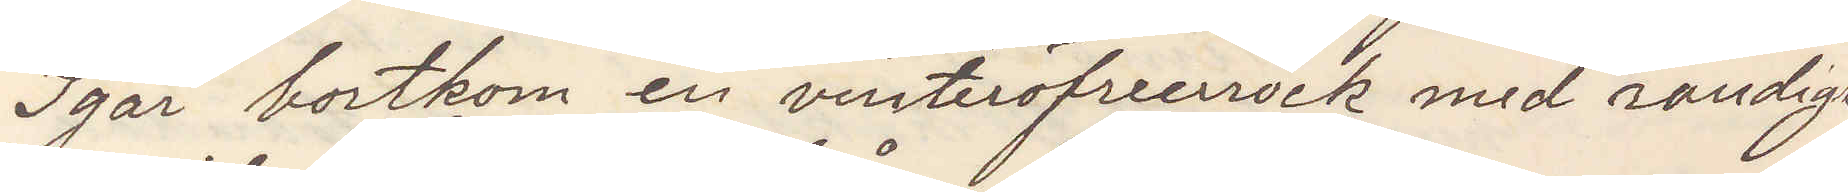Igår bortkom en vinteröfverrock med randigt
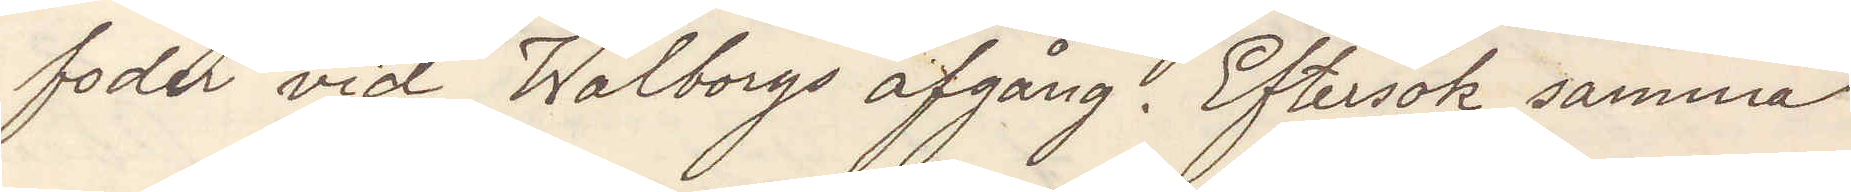foder vid Walborgs afgång. Eftersök samma
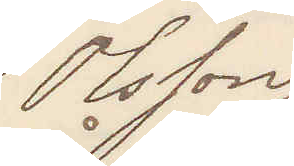Olsson
